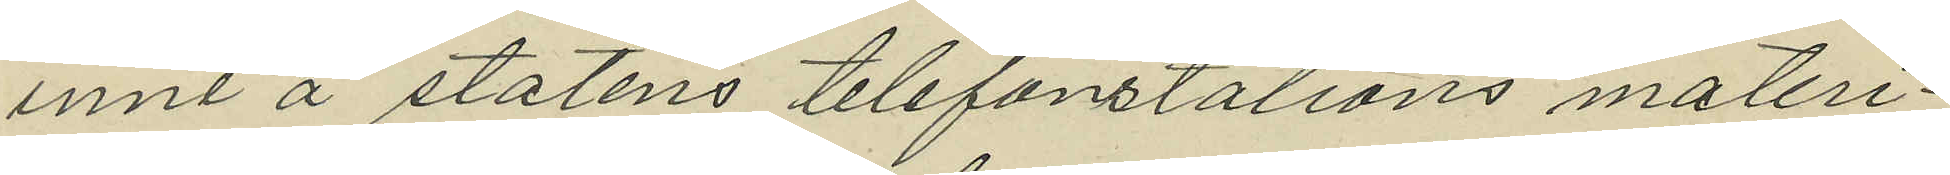inne å statens telefonstations materi¬
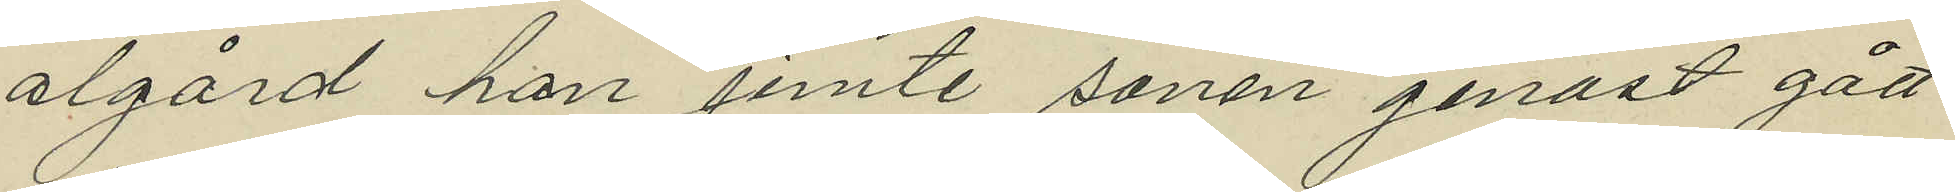algård han jemte sonen genast gått
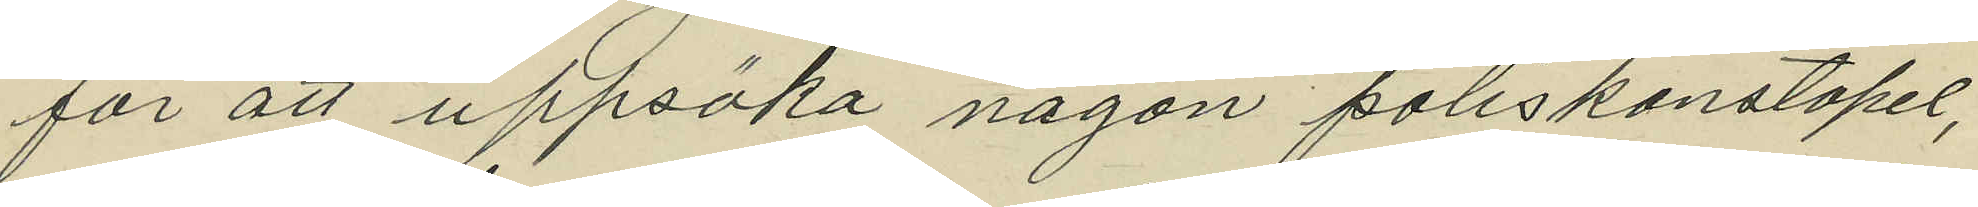för att uppsöka någon poliskonstapel,
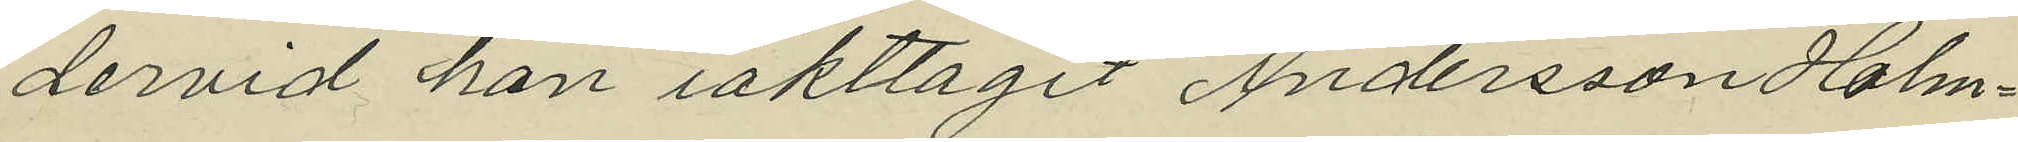dervid han iakttagit Andersson Holm¬
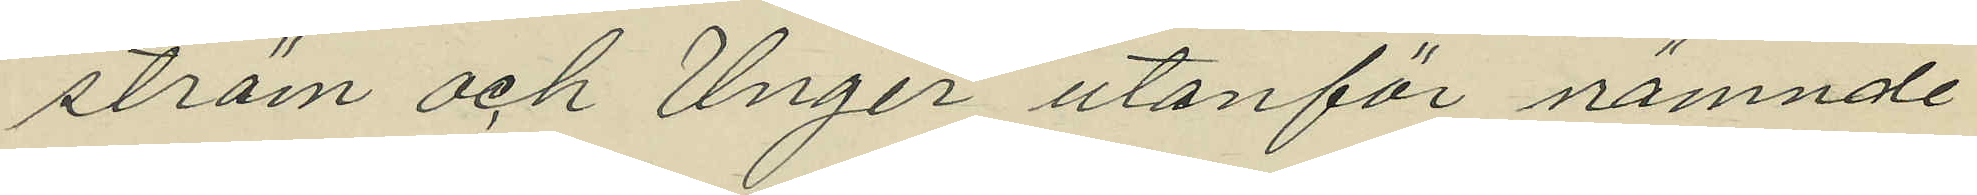ström och Unger utanför nämnde
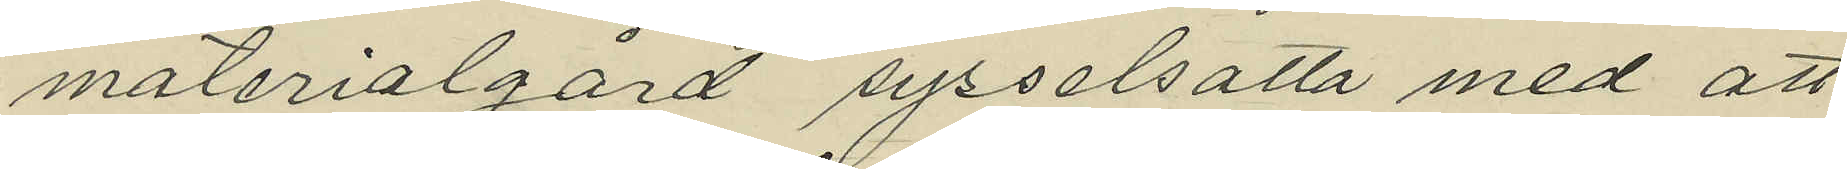materialgård sysselsatta med att
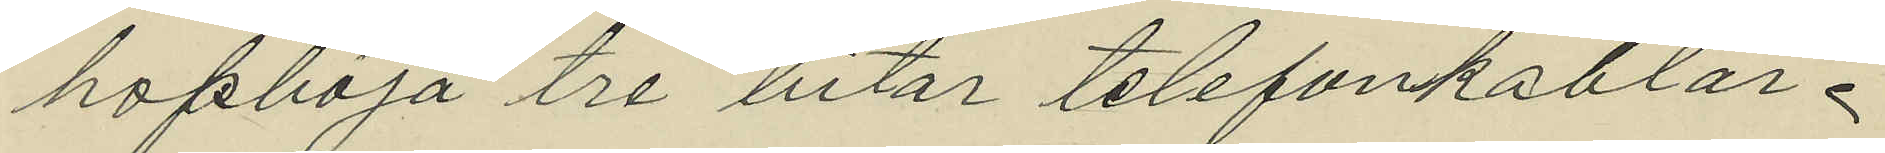hopböja tre bitar telefonkablar.
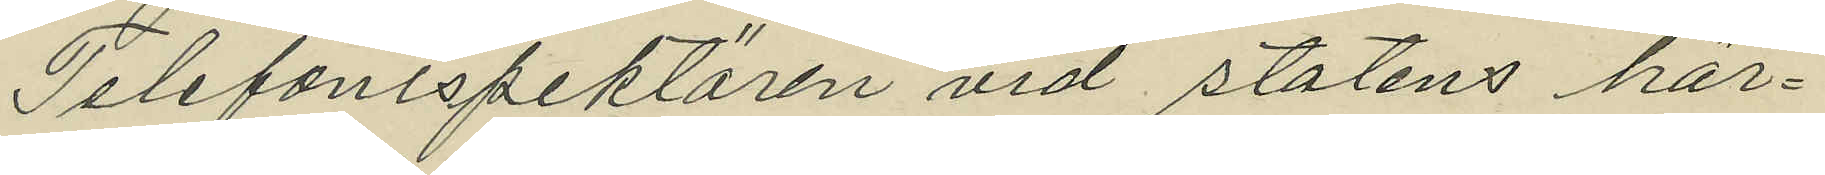Telefoninspektören vid statens här¬
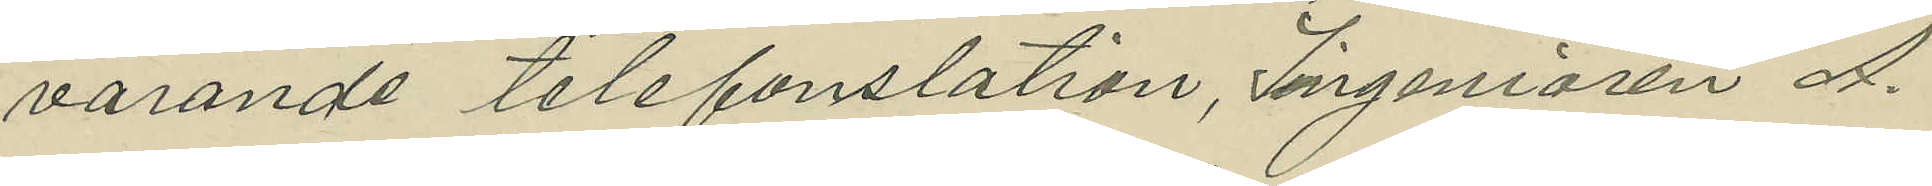varande telefonstation, Ingenjören A.
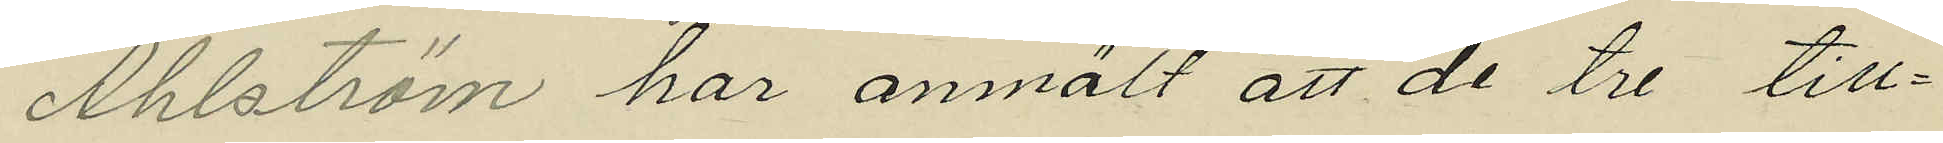Ahlström har anmält att de tre till¬
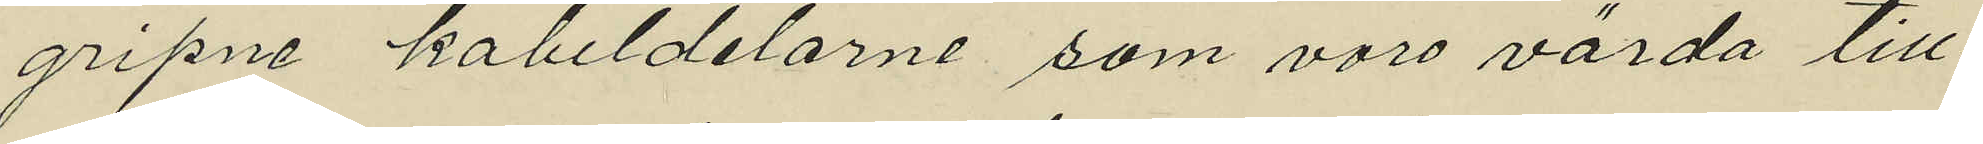gripne kabeldelarne som voro värda till¬
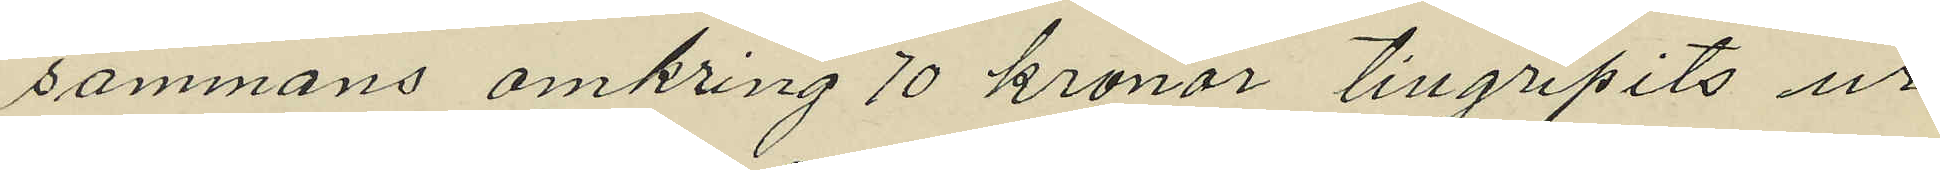sammans omkring 70 kronor tillgripits ur
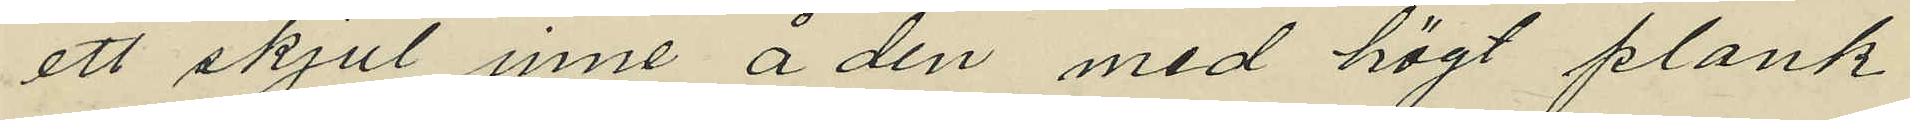ett skjul inne å den med högt plank
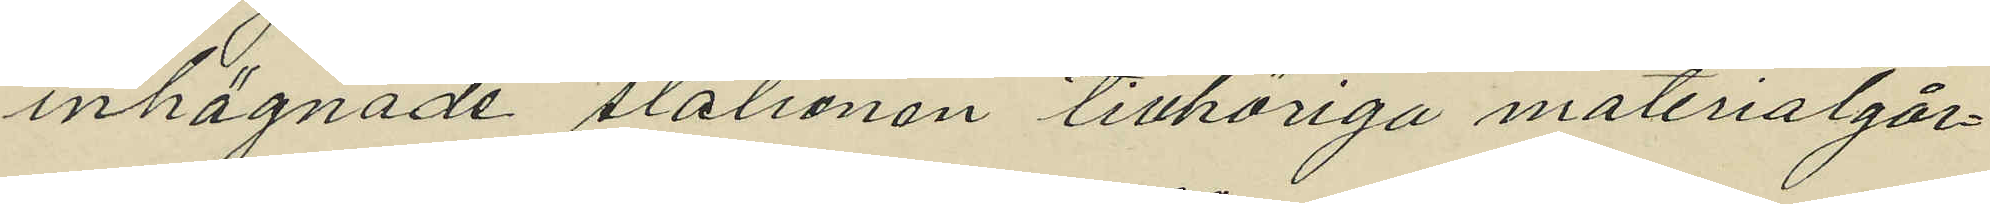inhägnade stationen tillhöriga materialgår¬
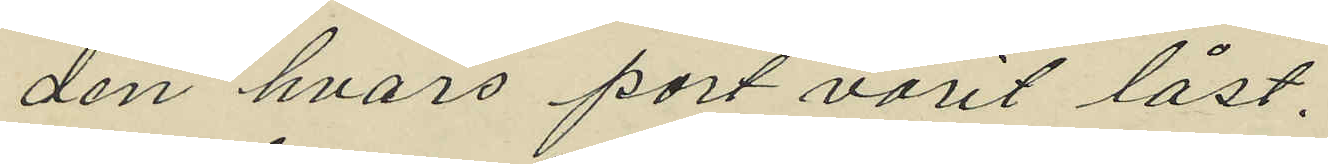den hvars port varit låst,
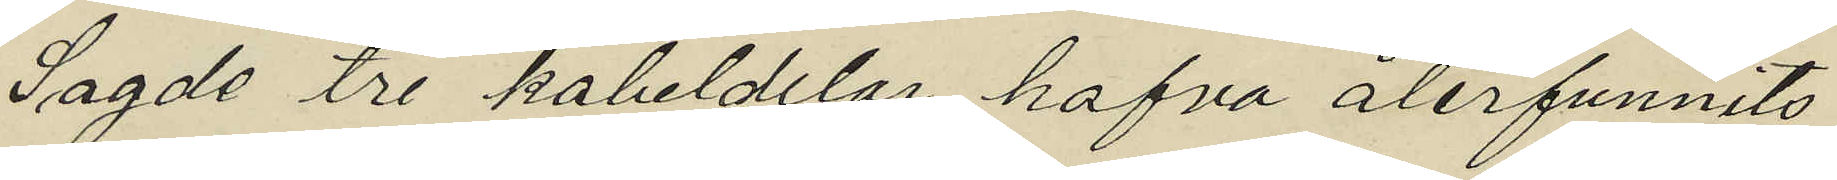Sagde tre kaheldelar hafva återfunnits
